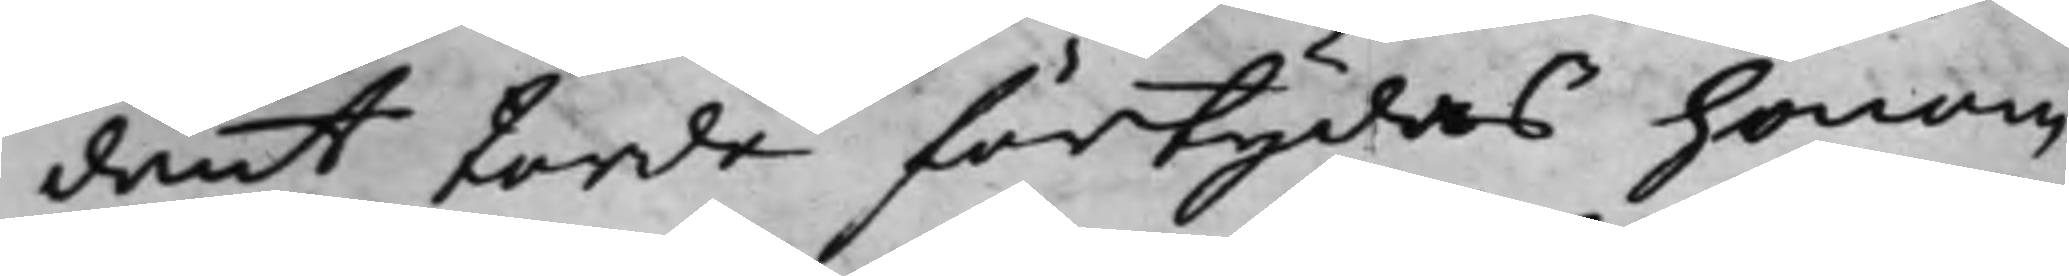dant torde förtydas honom
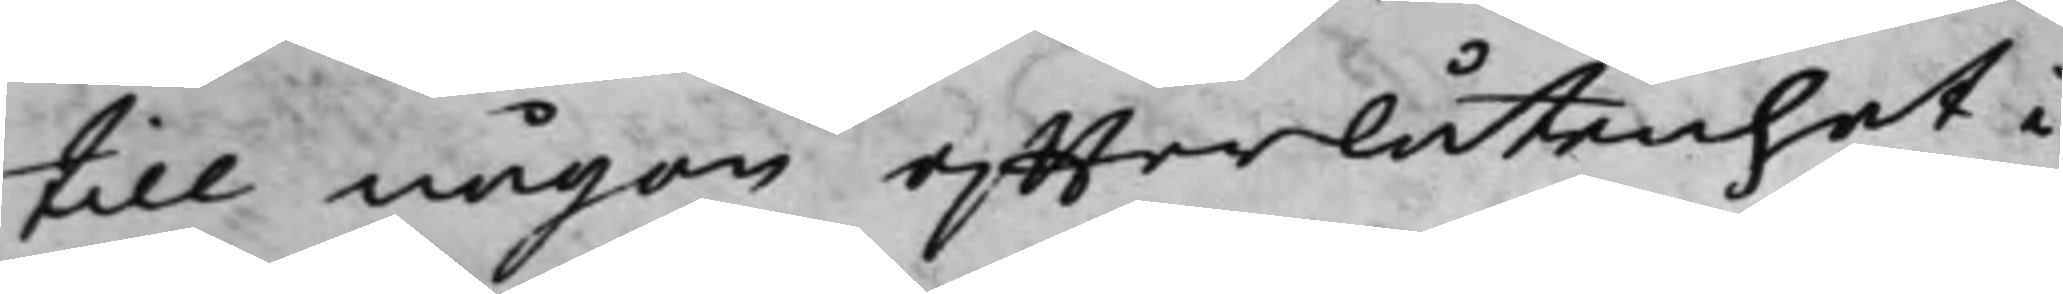till någon effterlåtenhet i
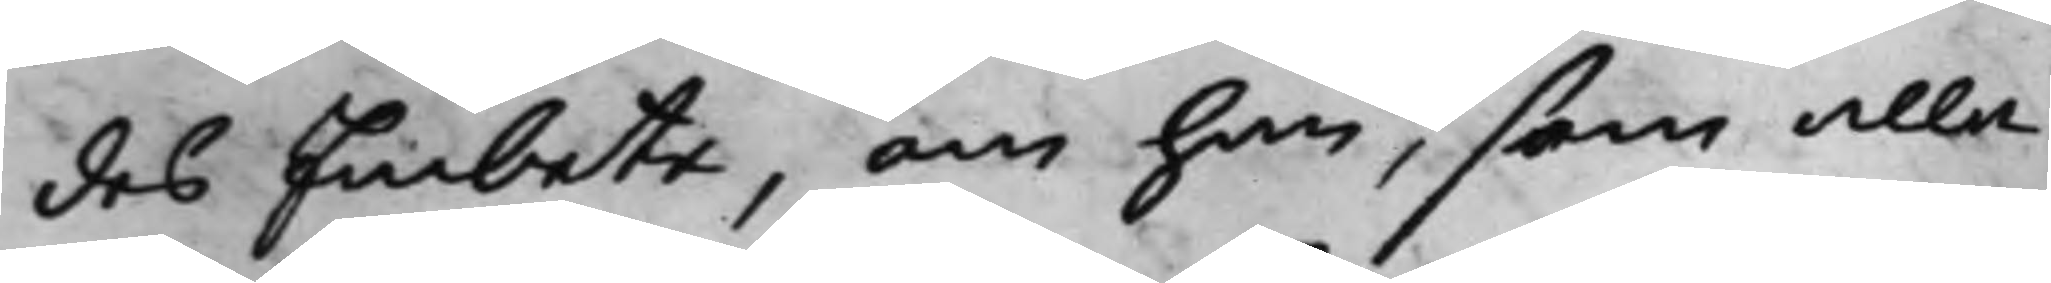des Embete, om han, som alla
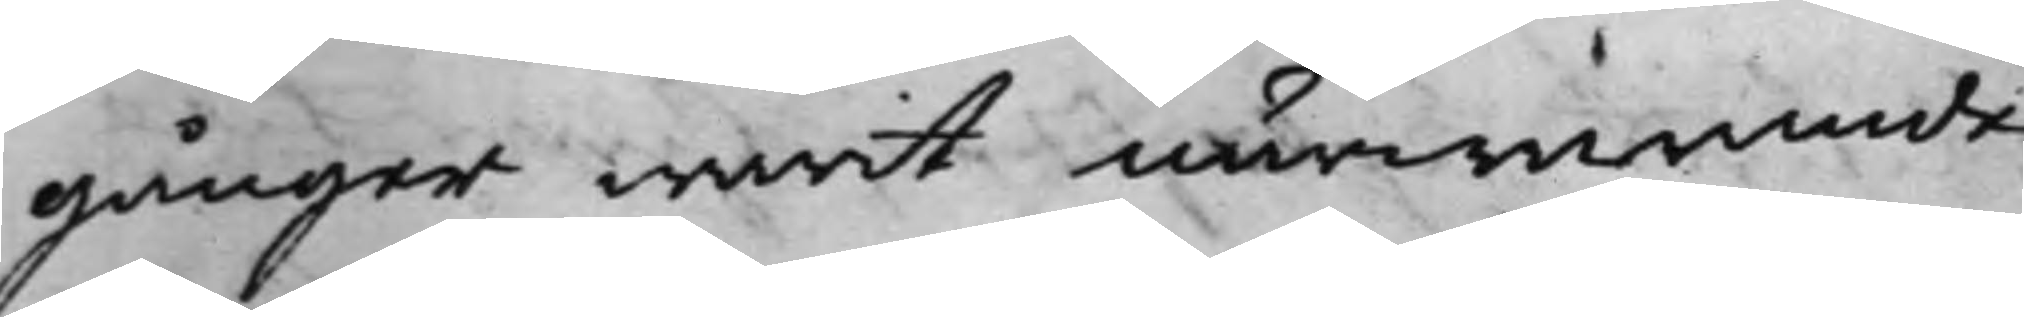gånger warit närwarande
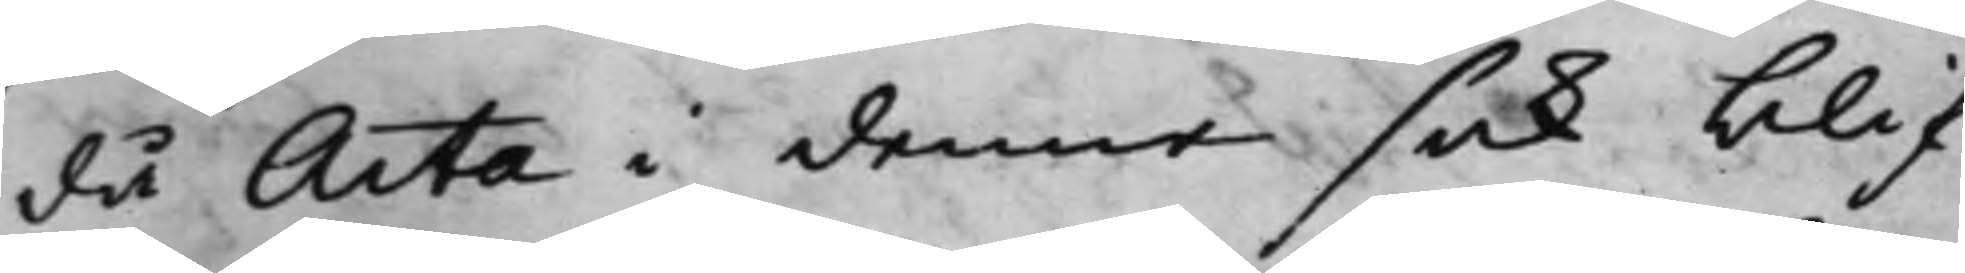då Acta i denna sak blif¬
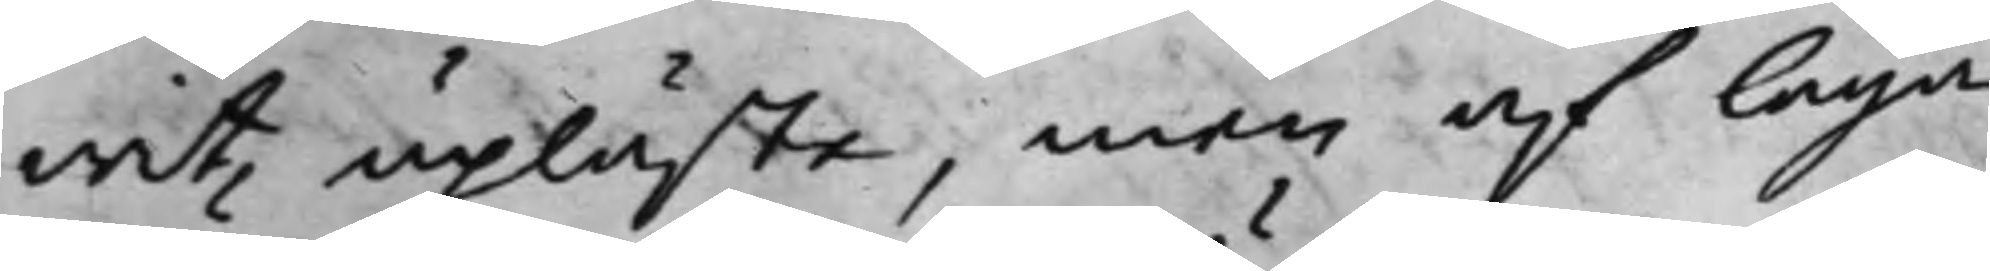wit upläste, men af laga
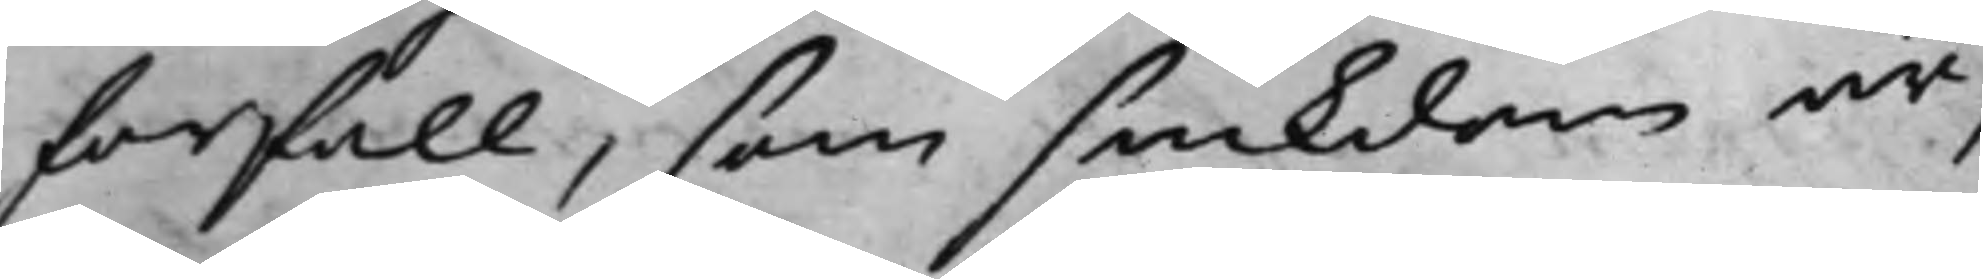förfall, som siukdom är,
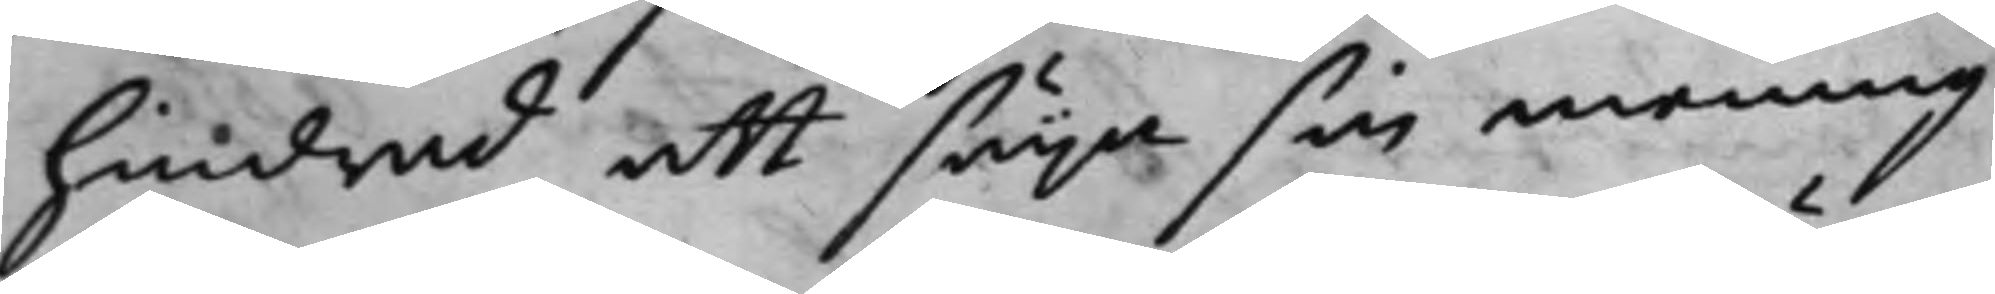hindrad att säga sin mening
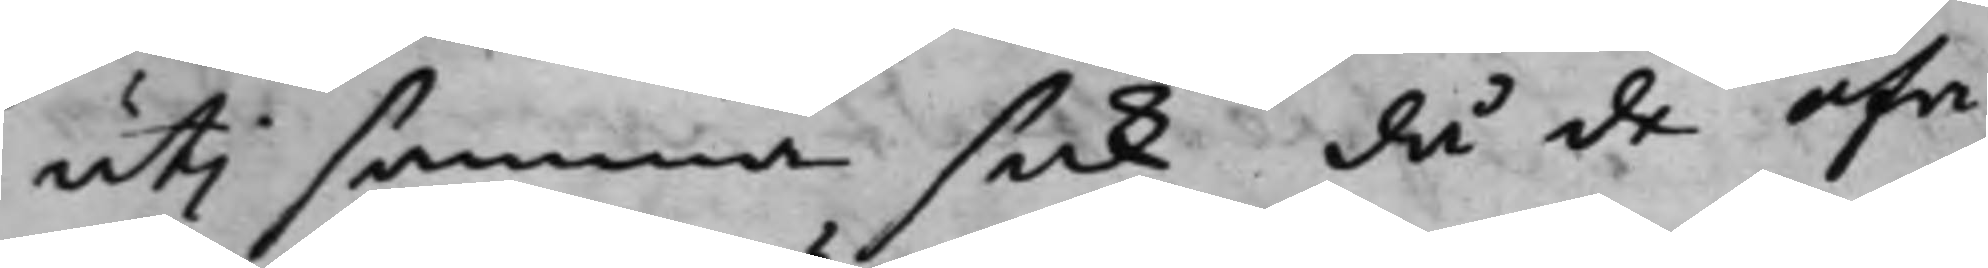uti samma sak då de öfri¬
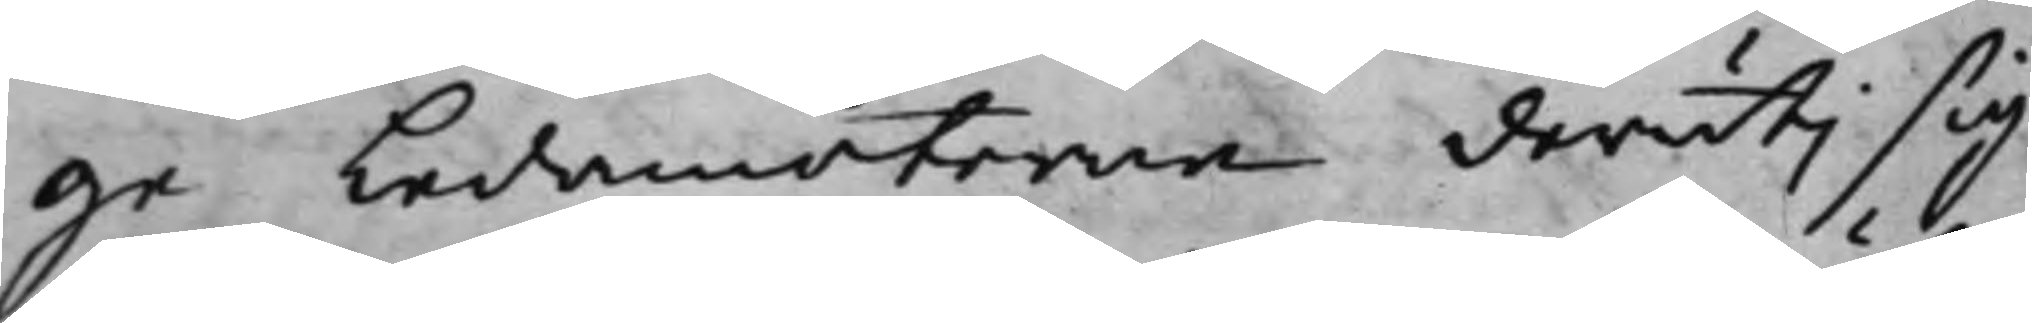ge Ledamöterne deruti sig
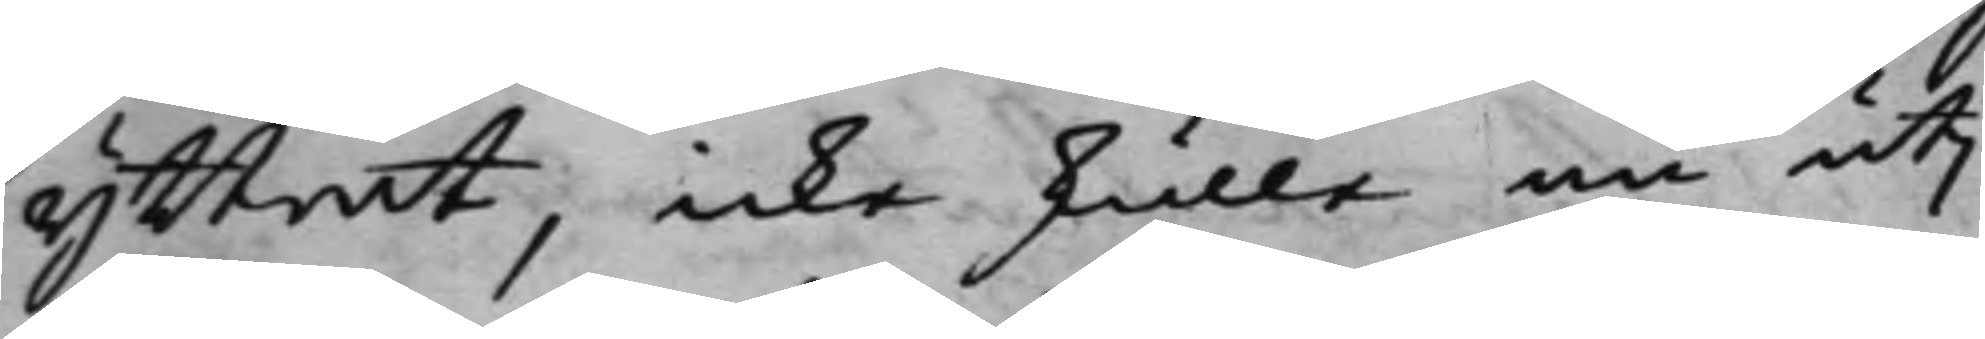yttrat, icke skulle nu uti
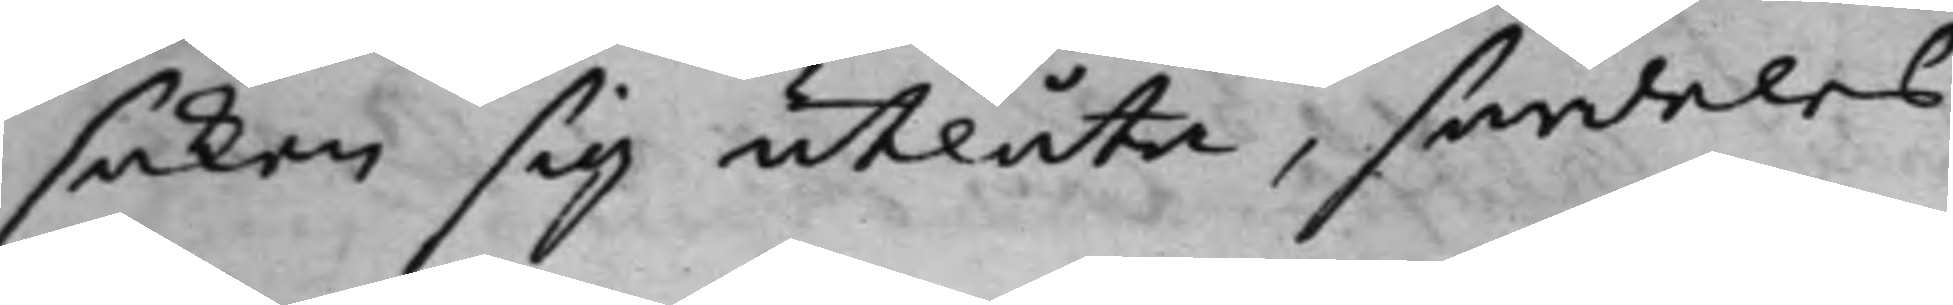saken sig utlåta, särdeles
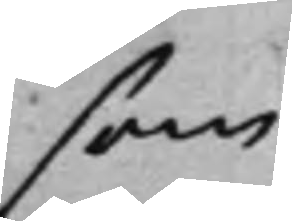som
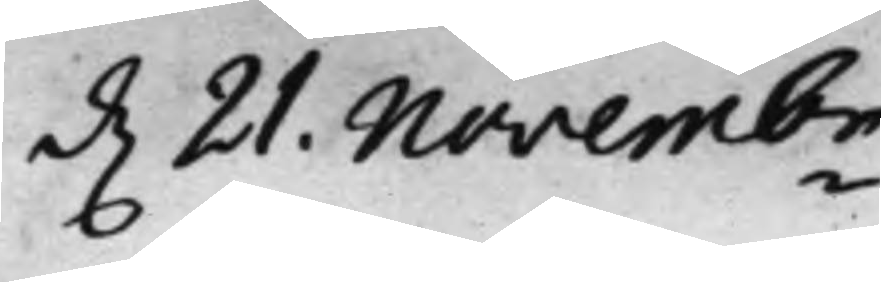d. 21. Novembr.
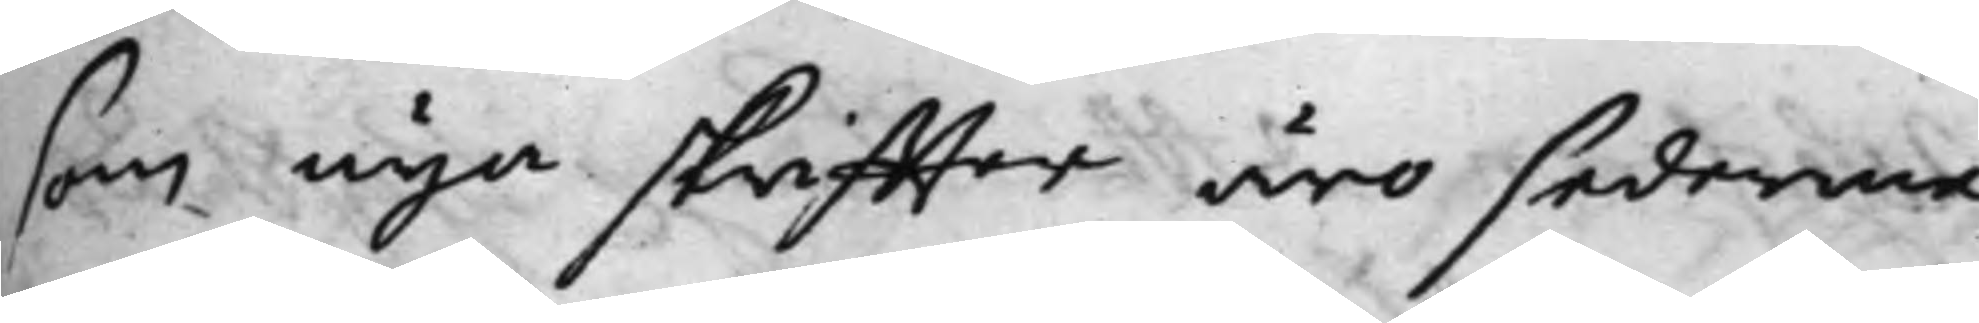som nya skriffter äro sederme¬
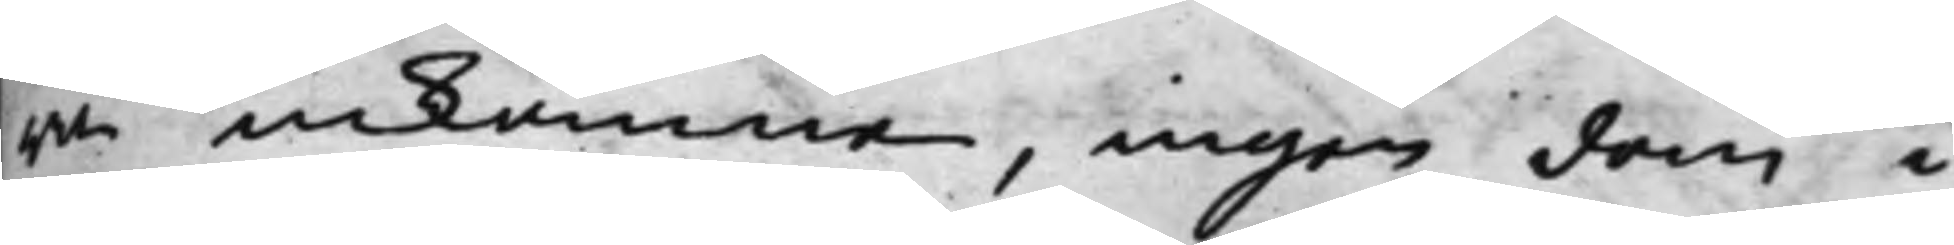ra inkomne, ingen dom i
